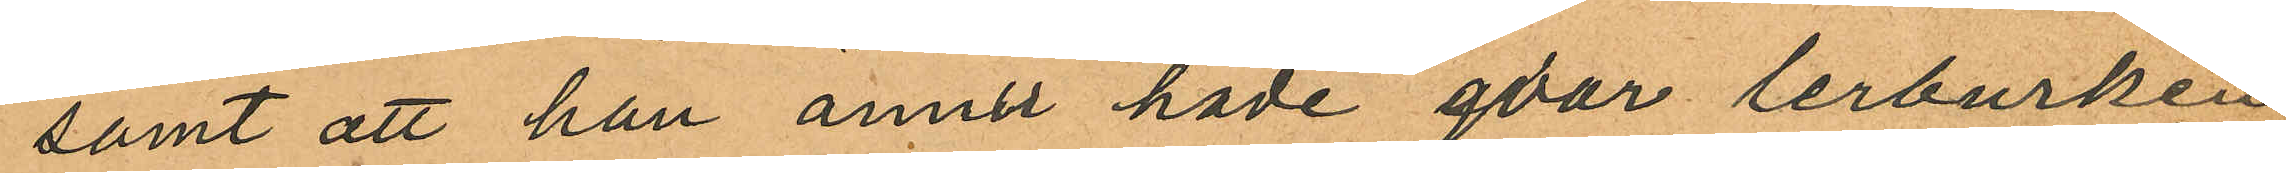samt att han ännu hade qvar lerburken
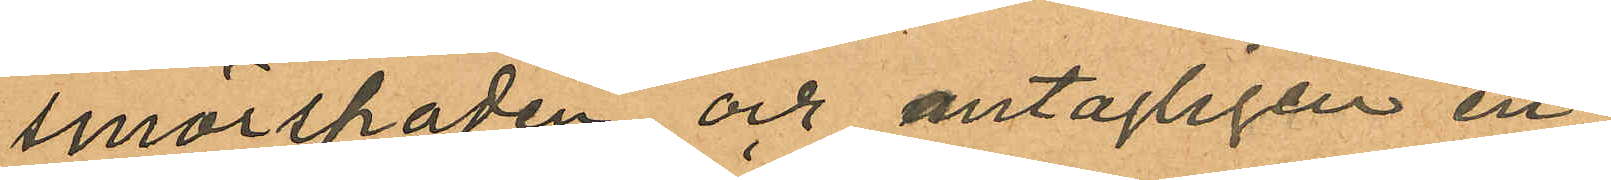smörspaden och antagligen en
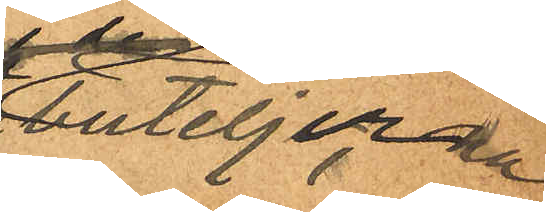buteljerna
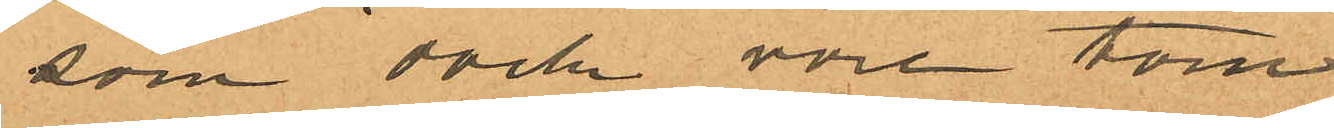som dock vore tom
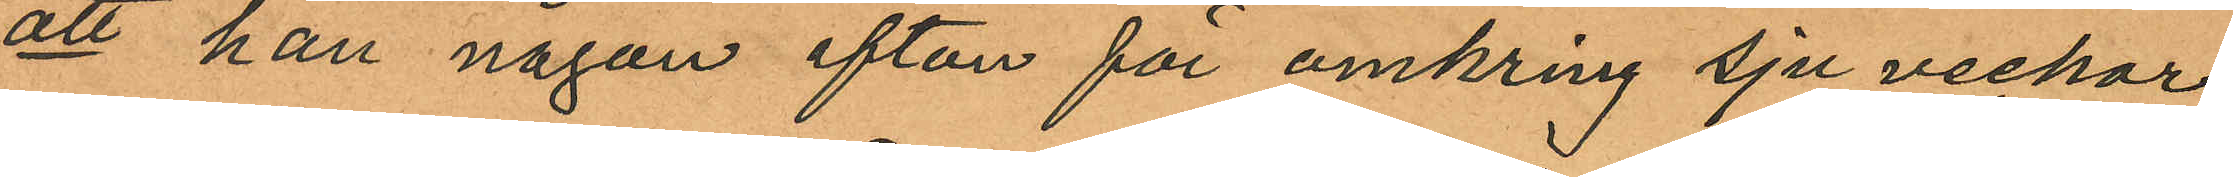att han någon afton för omkring sju veckor
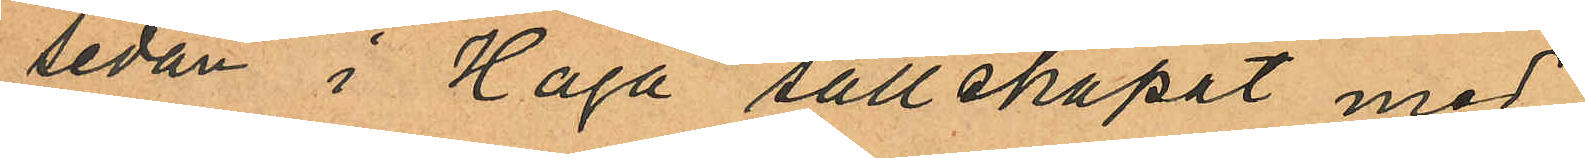sedan i Haga sällskapat med
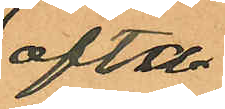ofta¬
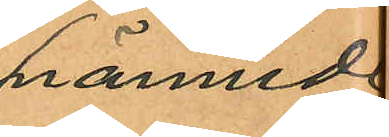nämnde
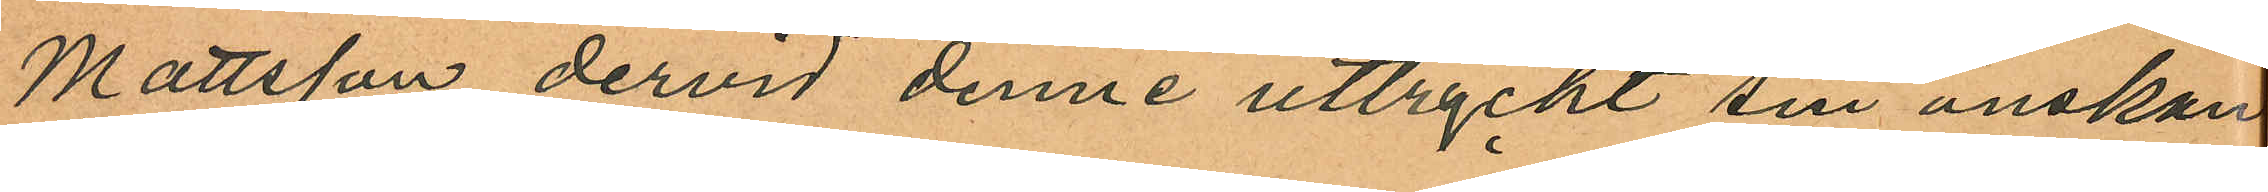Mattsson dervid denne uttryckt sin önskan
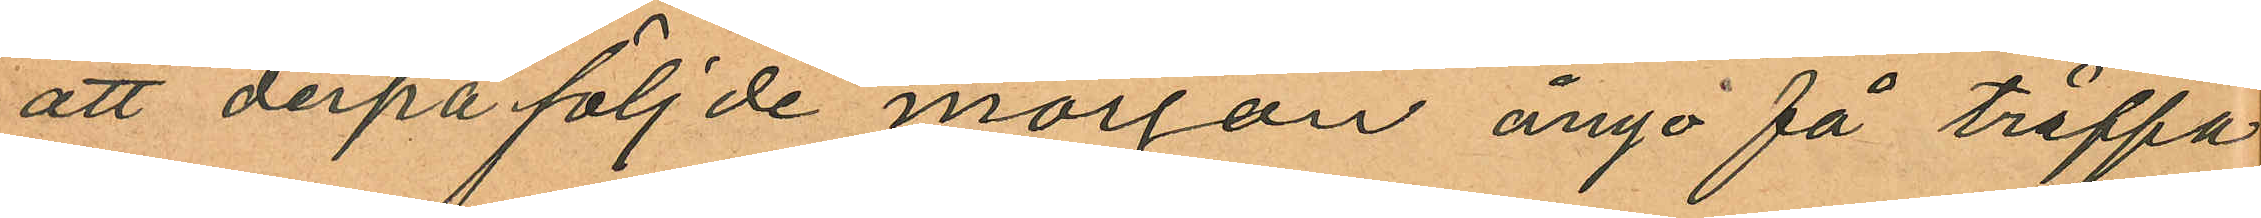att derpåföljde morgon ånyo få träffa
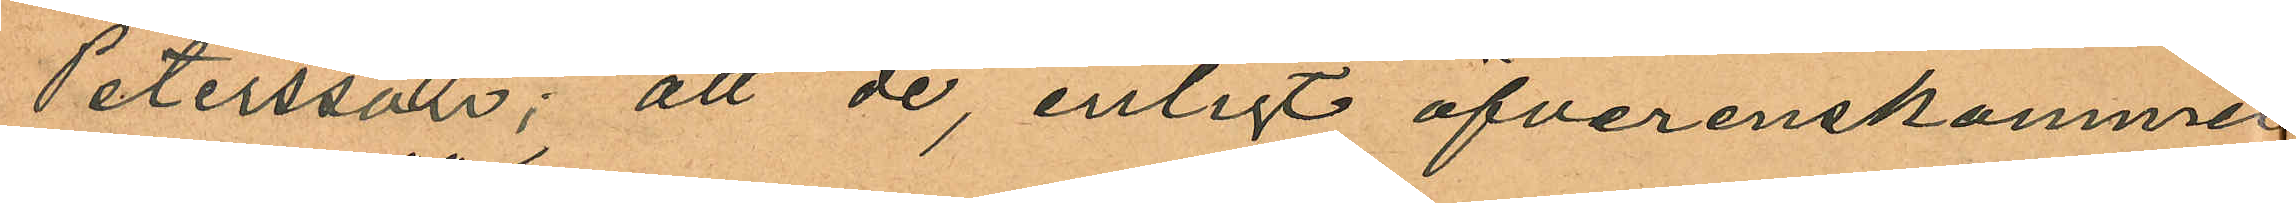Petersson; att de, enligt öfverenskommel
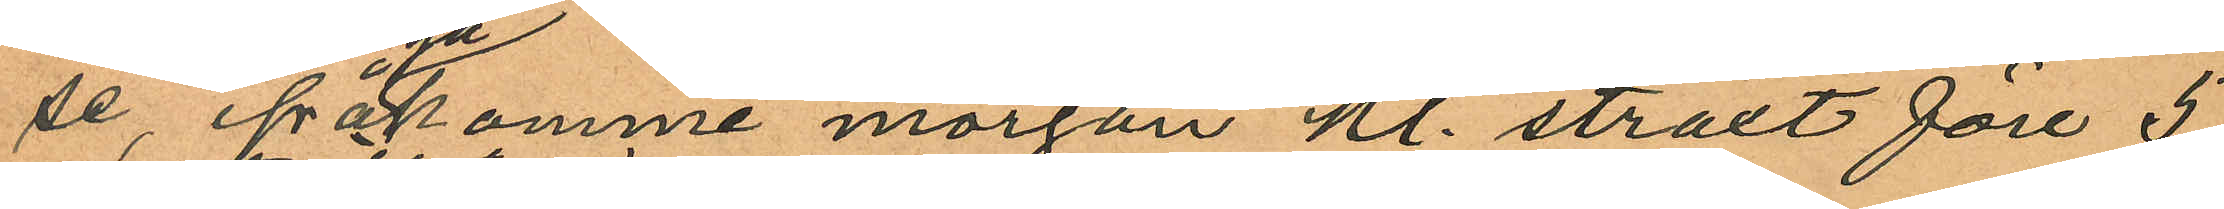se ifrågakomme morgon kl. straxt före 5
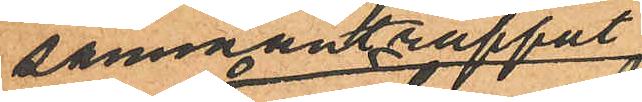sammanträffat
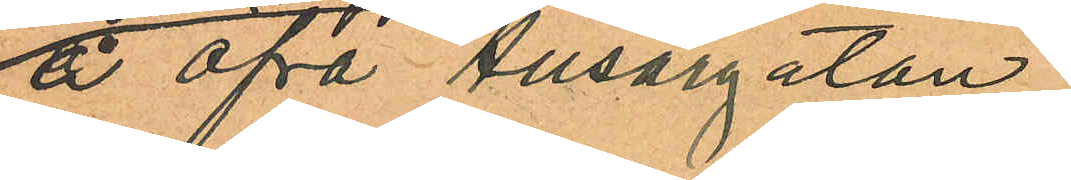å Öfra Husargatan
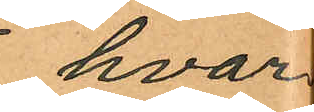hvar¬
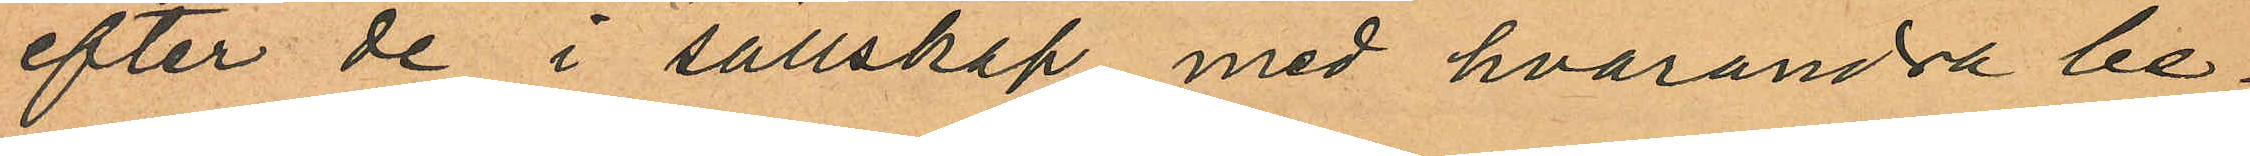efter de i sällskap med hvarandra be¬
